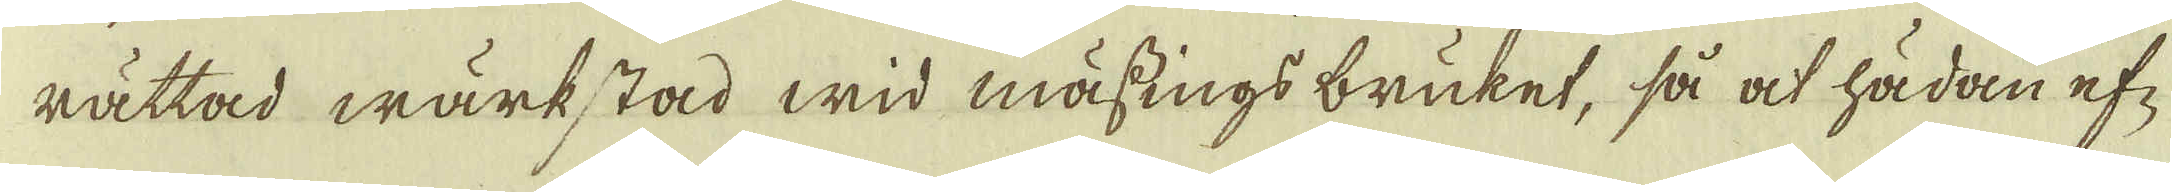rättad wärkstad wid mässings bruket, så ock hädan ef-
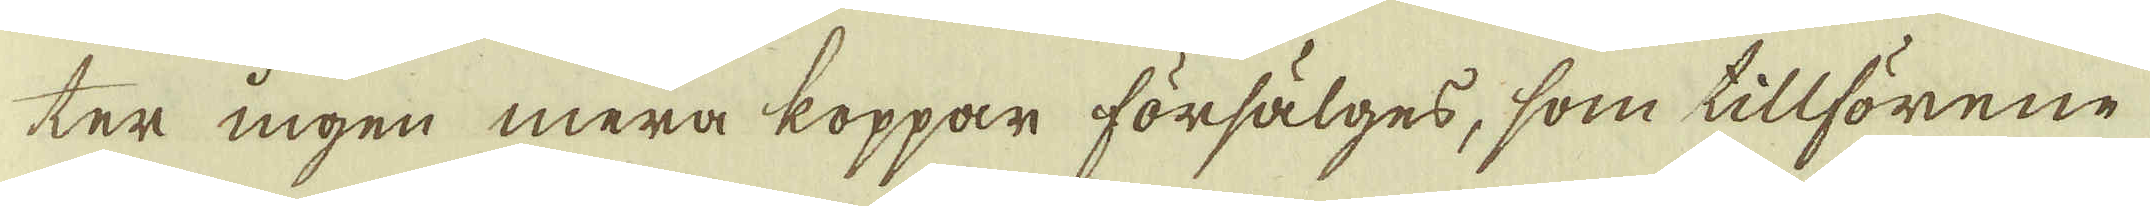ter ingen mera koppar försälges, som tillförene
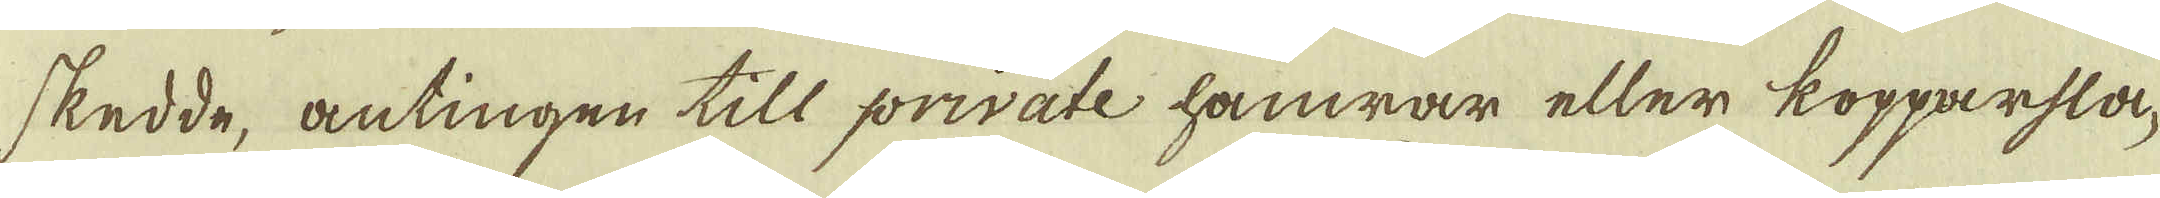skedde, antingen till private hämrar eller kopparsla-
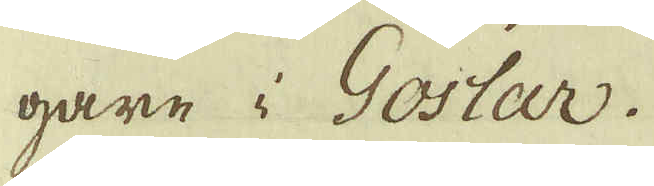gare i Goslar.
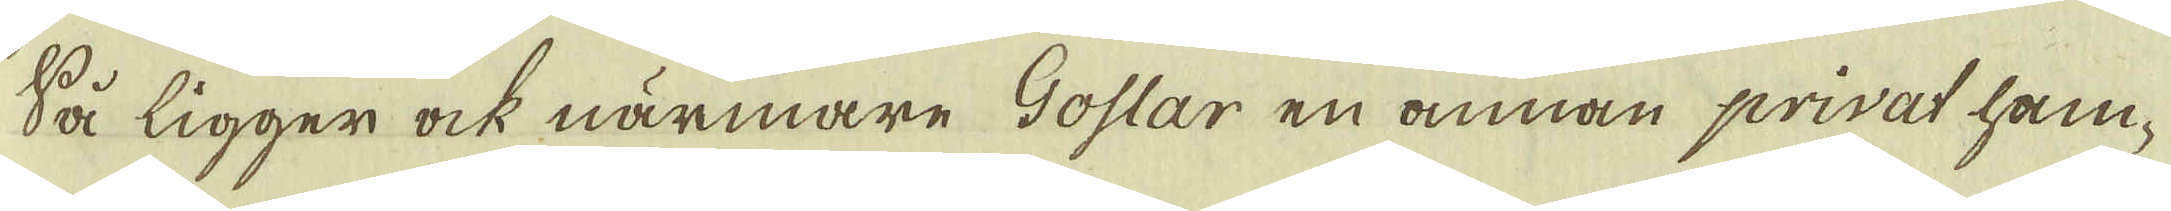Så ligger ock närmare Goslar en annan privat ham-
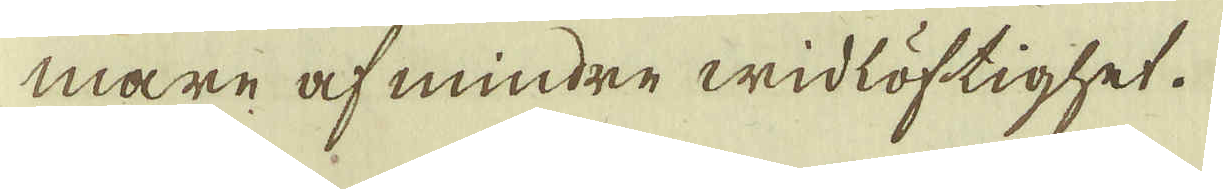mare af mindre widlöftighet.
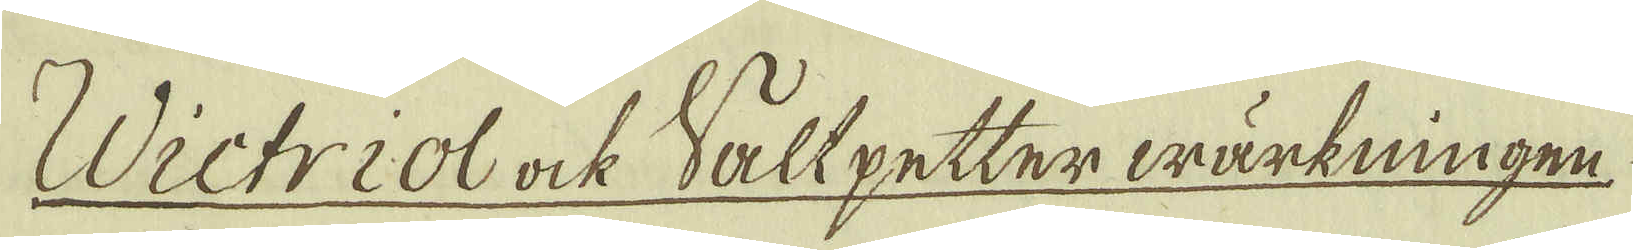Wictriol ock Saltpetter wärkningen
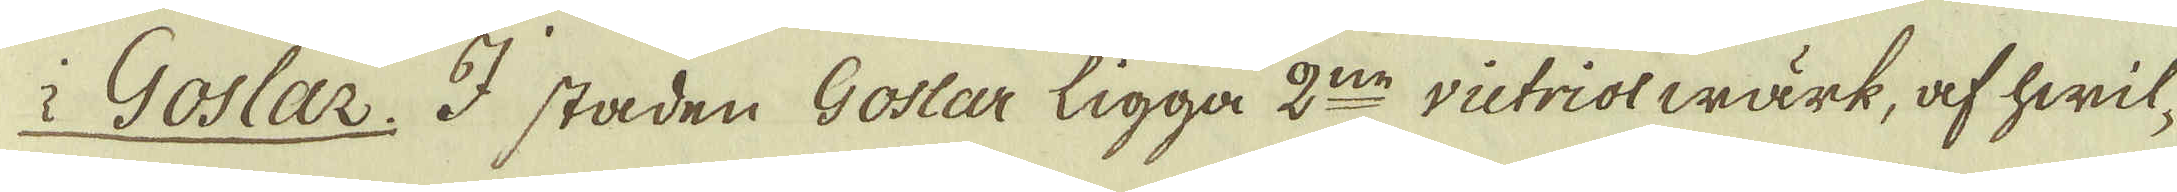i Goslar. I staden Goslar ligga 2:ne victriolwärk, af hwil-
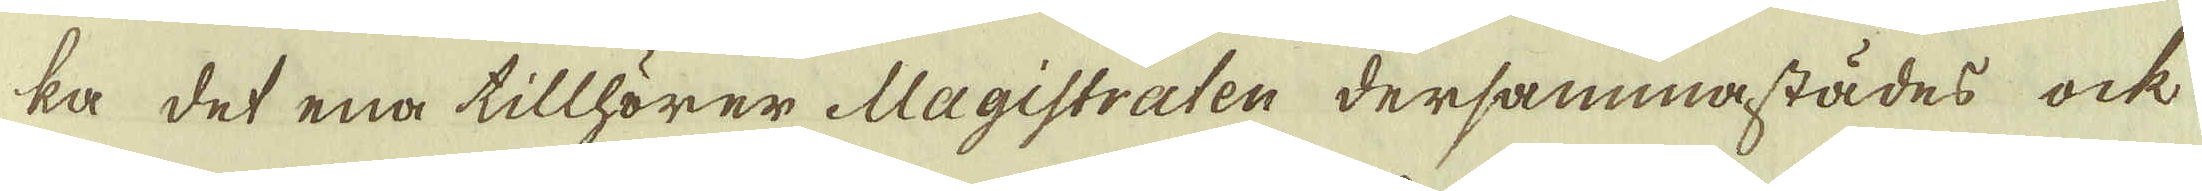ka det ena tillhörer Magistraten dersammastädes ock
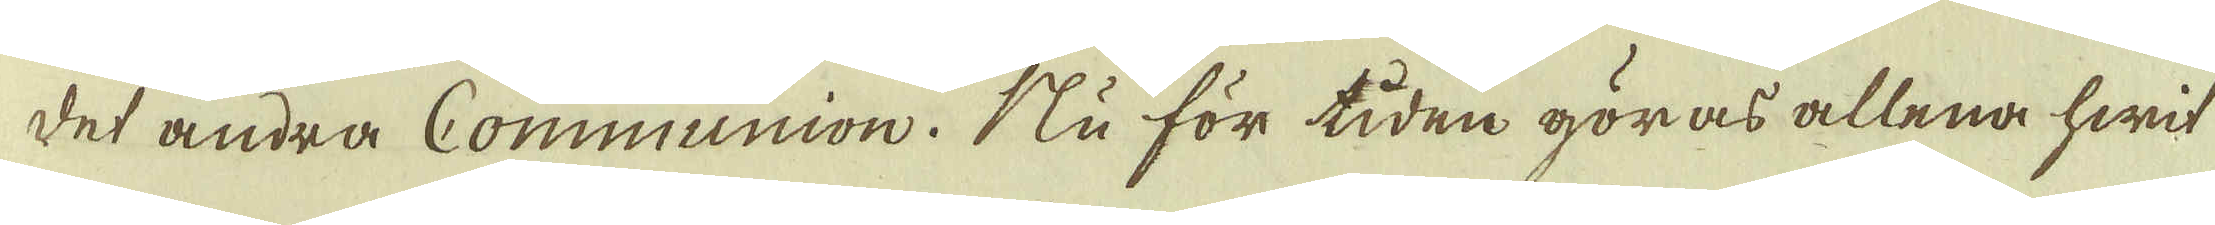det andra Communion. Nu för tiden göras allena hwit
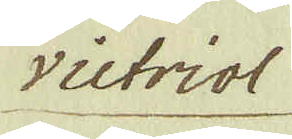victriol
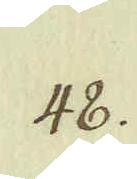48.
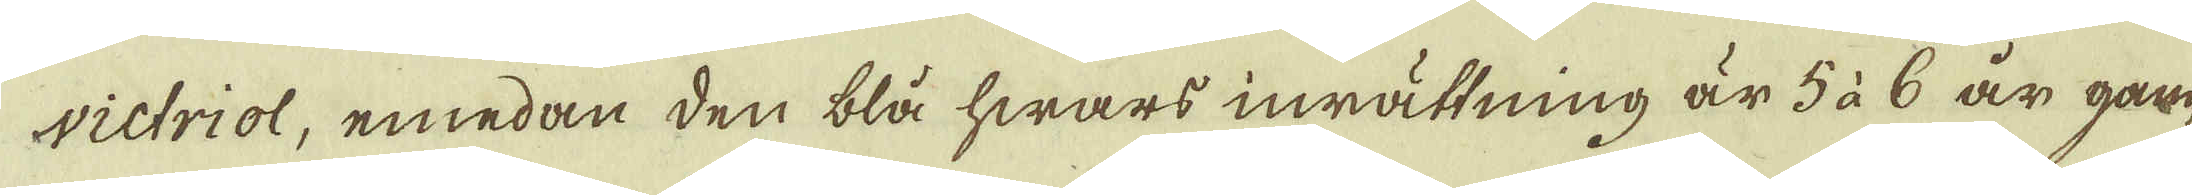victriol, emedan den blå hwars inrättning är 5 à 6 år gam-
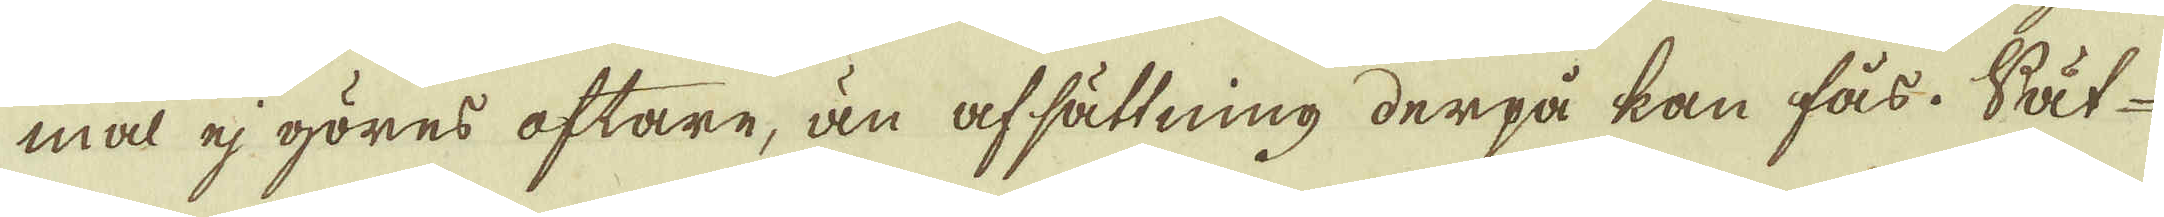mal ej göres oftare, än afsättning derpå kan fås. Sät-
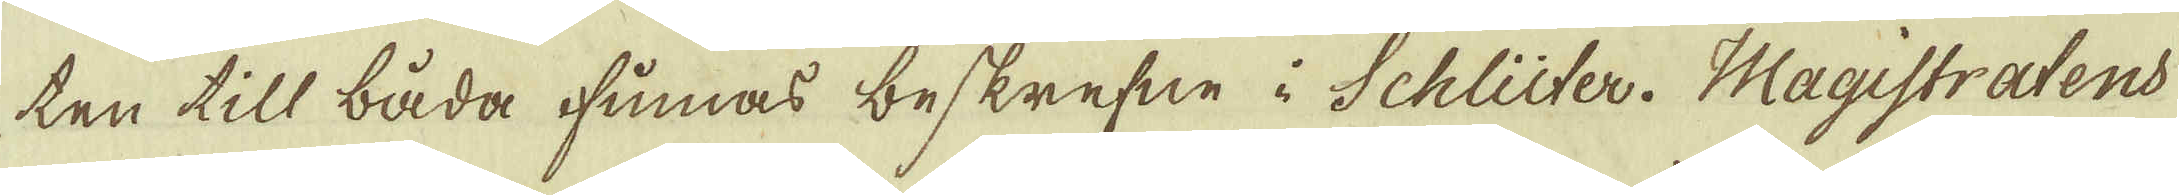ten till båda finnas beskrefne i Schlüter. Magistraten
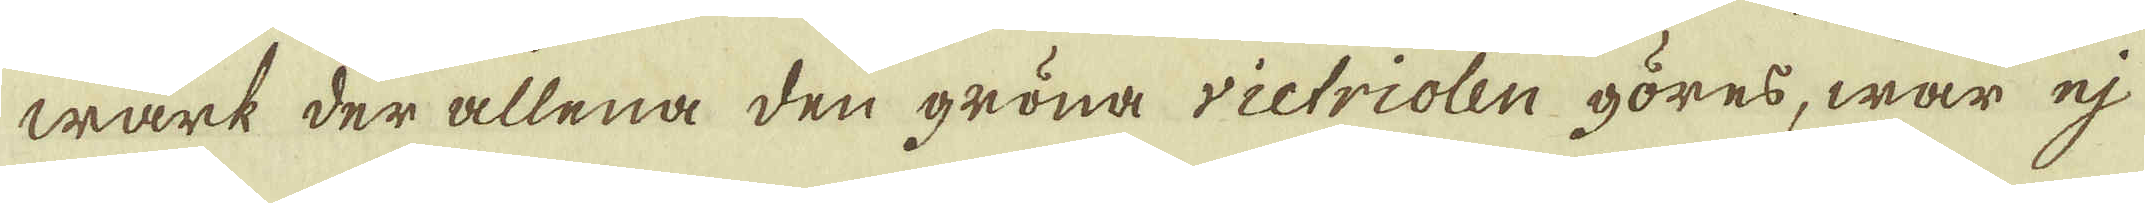wärt der allena den gröna rictriolen göres, war ej
